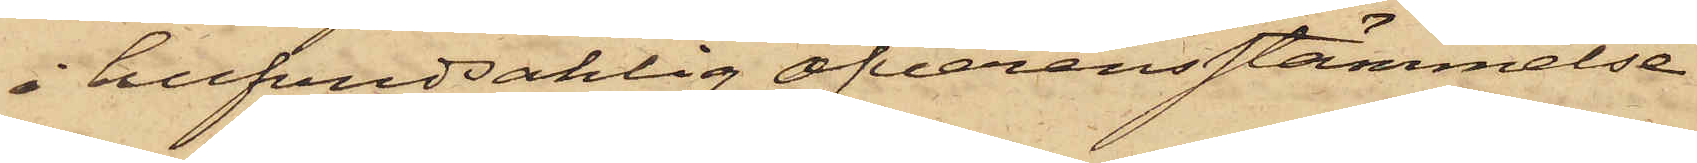i hufvudsaklig öfverensstämmelse
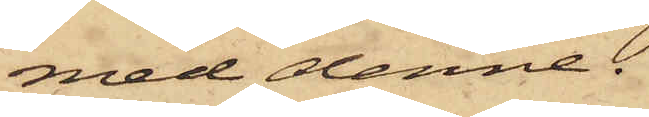med denne.
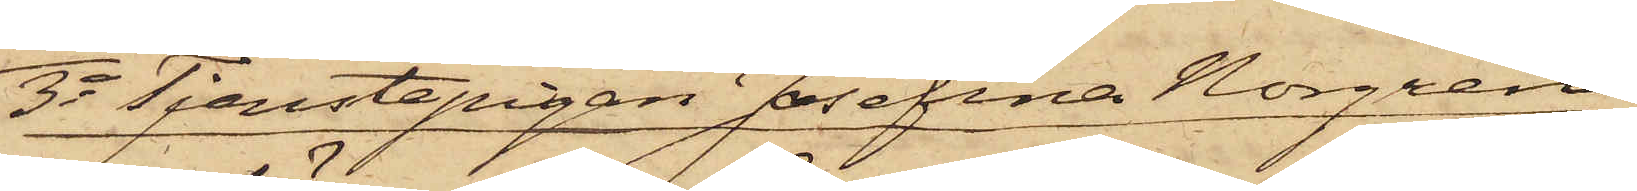3o Tjenstepigan Josefina Norgren,
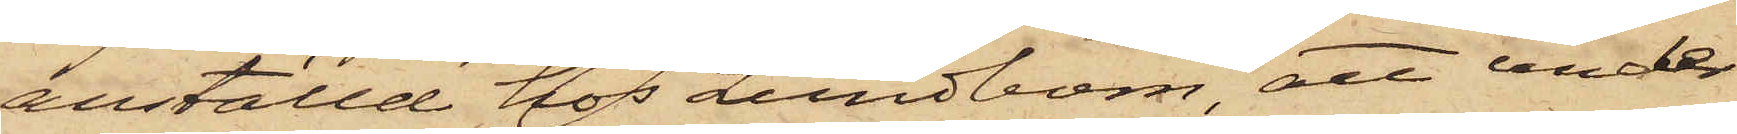anställd hos Lundbom, att under
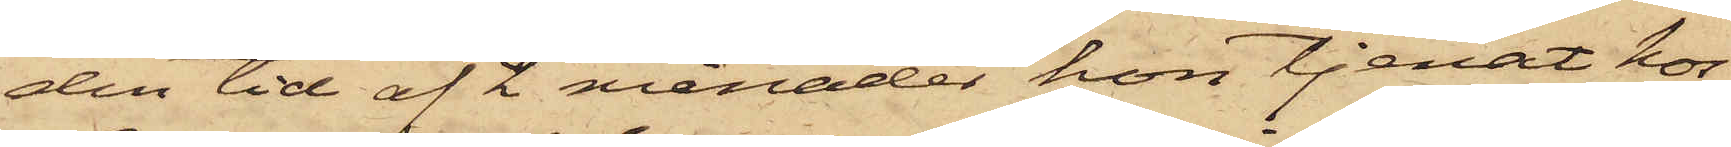den tid af 2 månader hon tjenat hos
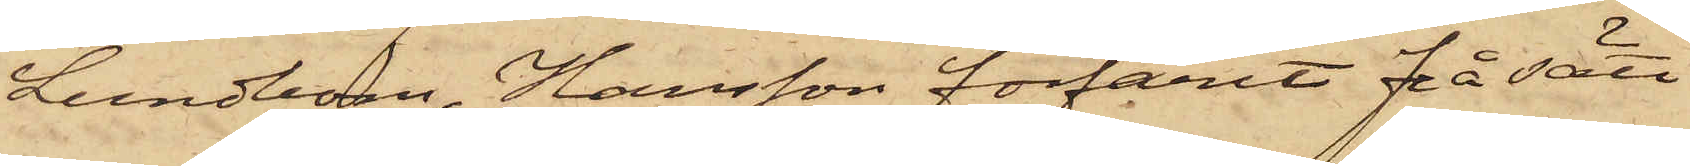Lundbom, Hansson förfarit på sätt
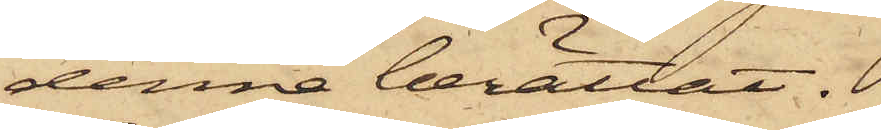denne berättat.
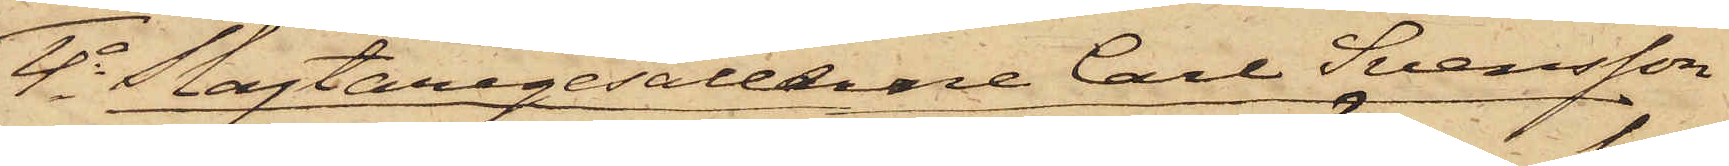4o Slagtaregesällerne Carl Svensson
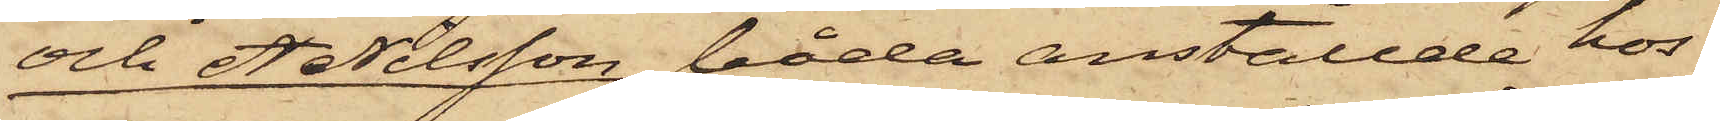och A Nilsson, båda anställde hos
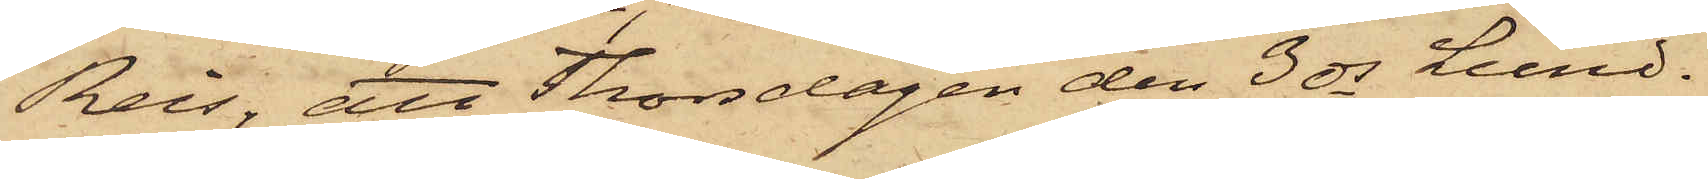Reis; att Thorsdagen den 3 ds Lund¬
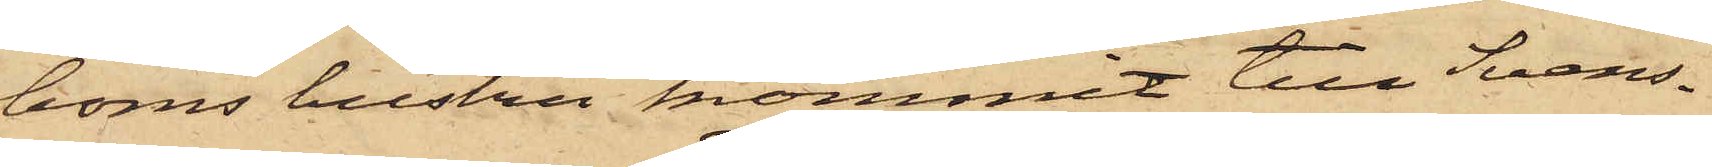boms hustru kommit till Svens¬
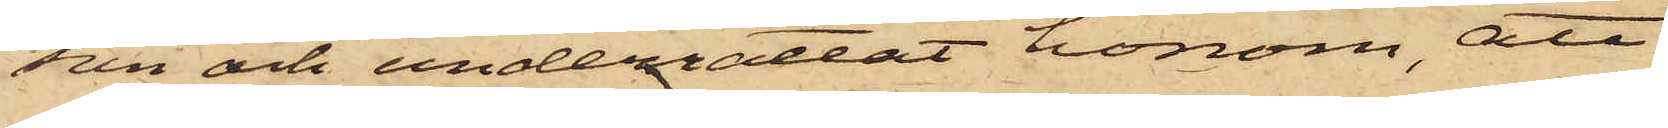son och underrättat honom; att
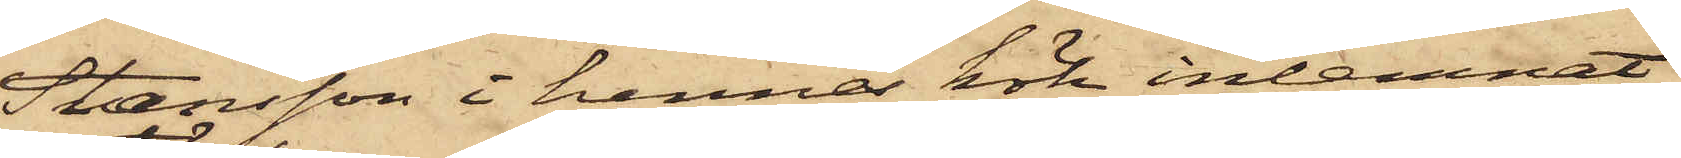Hansson i hennes kök inlemnat
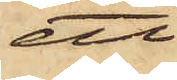ett
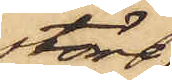större
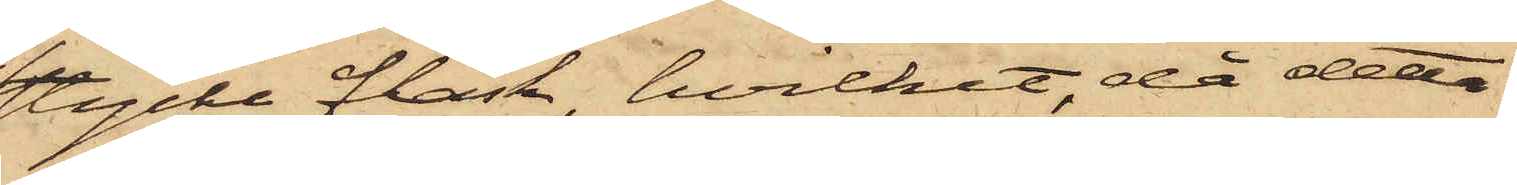stycke fläsk, hvilket, då detta
